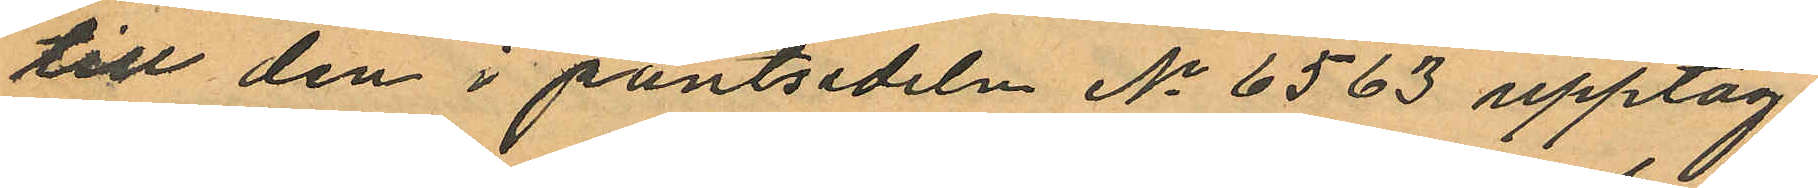till den i pantsedeln No 6563 upptag¬
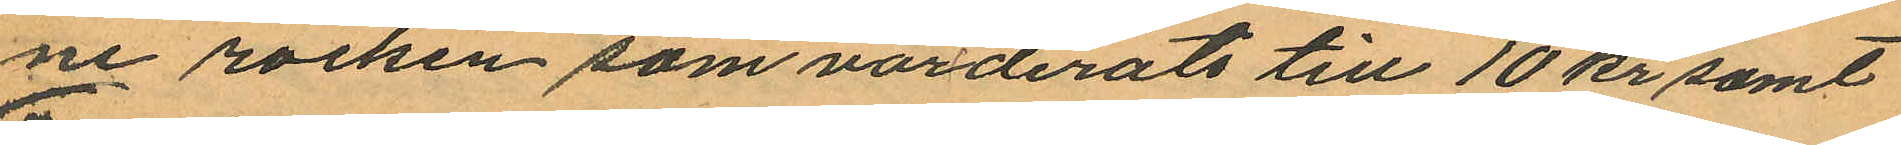ne rocken som värderats till 10 kr samt
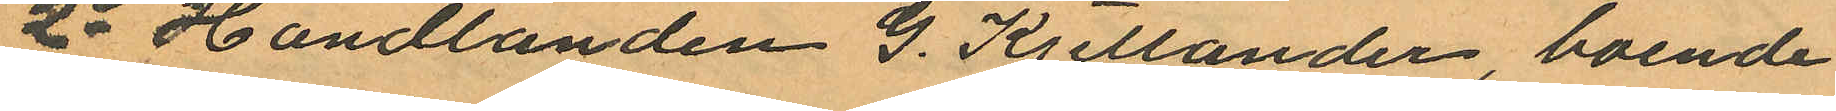2o Handlanden G. Kjellander, boende
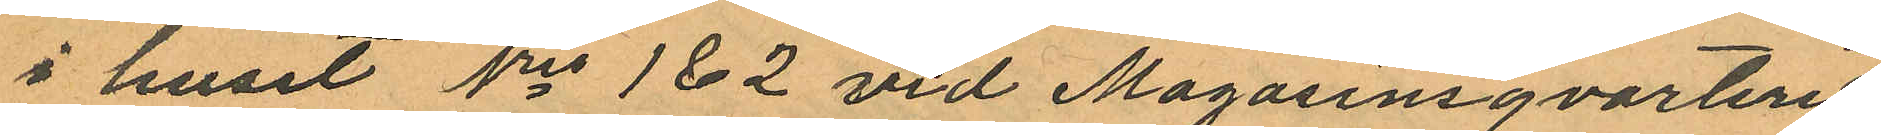i huset No 1 & 2 vid Magasinsqvarteret
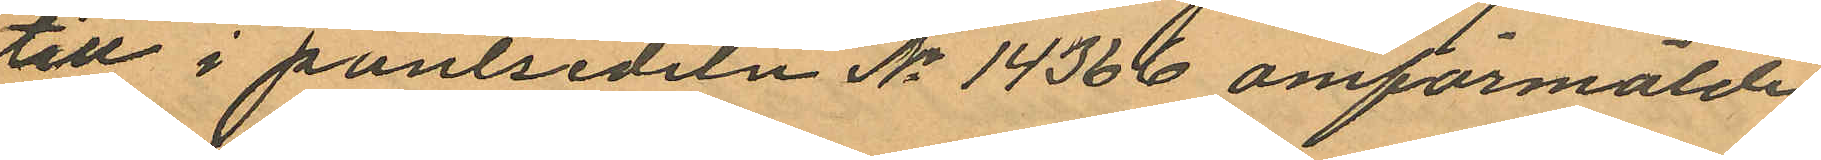till i pantsedeln No 14366 omförmälde
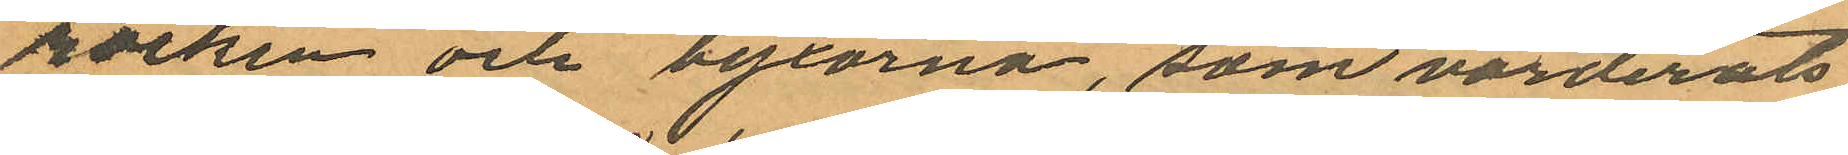rocken och byxorna, som värderats
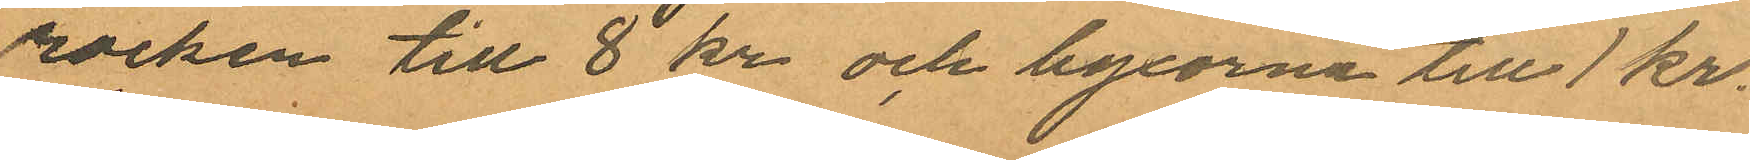rocken till 8 kr och byxorna till 1 kr.
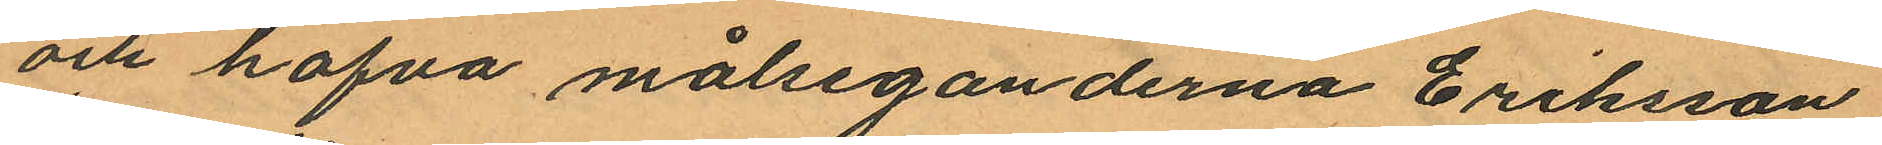och hafva målseganderna Eriksson,
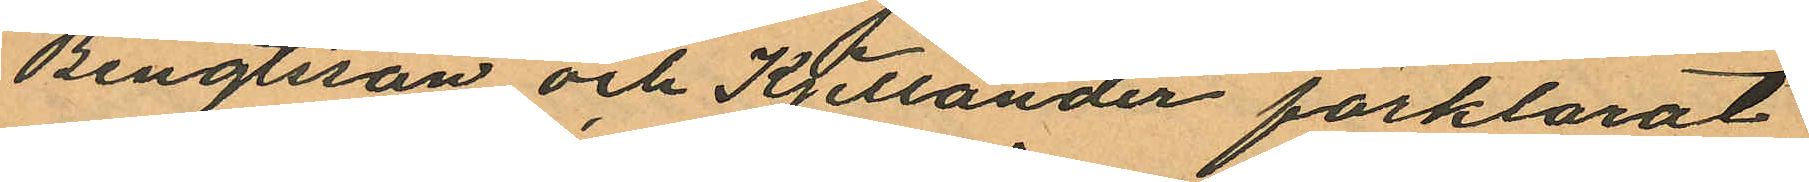Bengtsson och Kjellander förklarat
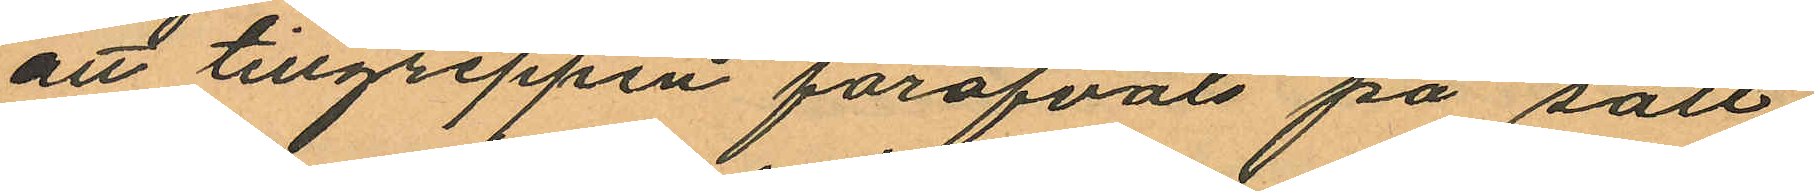att tillgreppen föröfvats på sätt
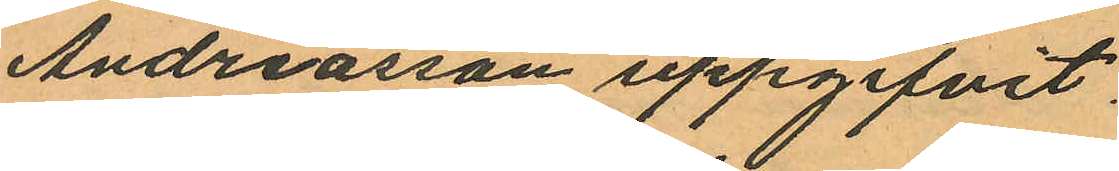Andreasson uppgifvit.
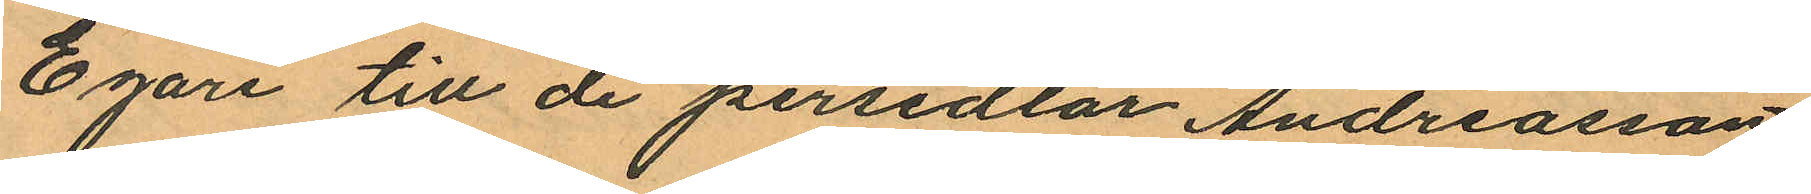Egare till de persedlar Andreasson
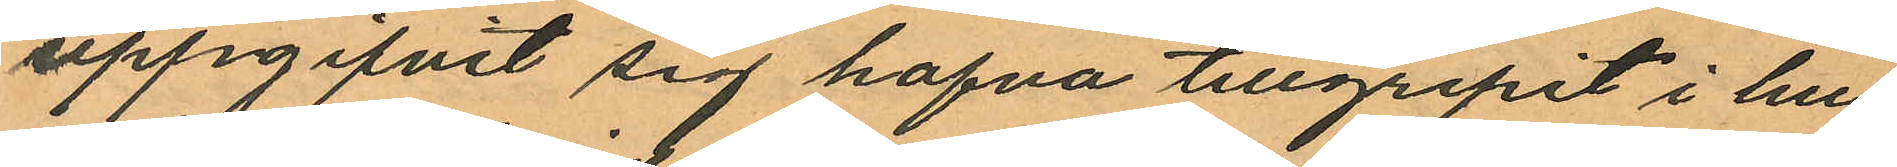uppgifvit sig hafva tillgripit i hu¬
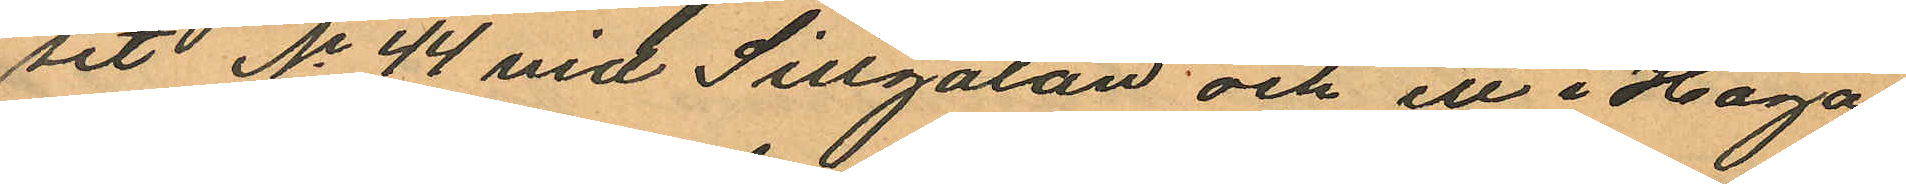set No 44 vid Sillgatan och ett i Haga
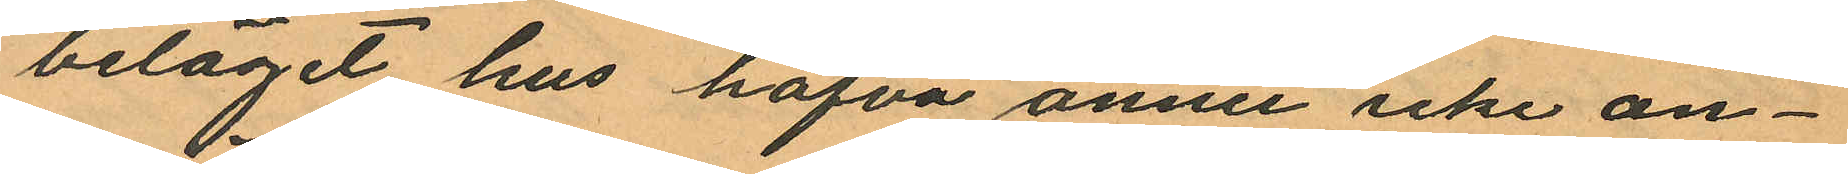beläget hus hafva ännu icke an¬
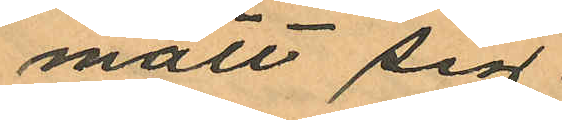mält sig.
